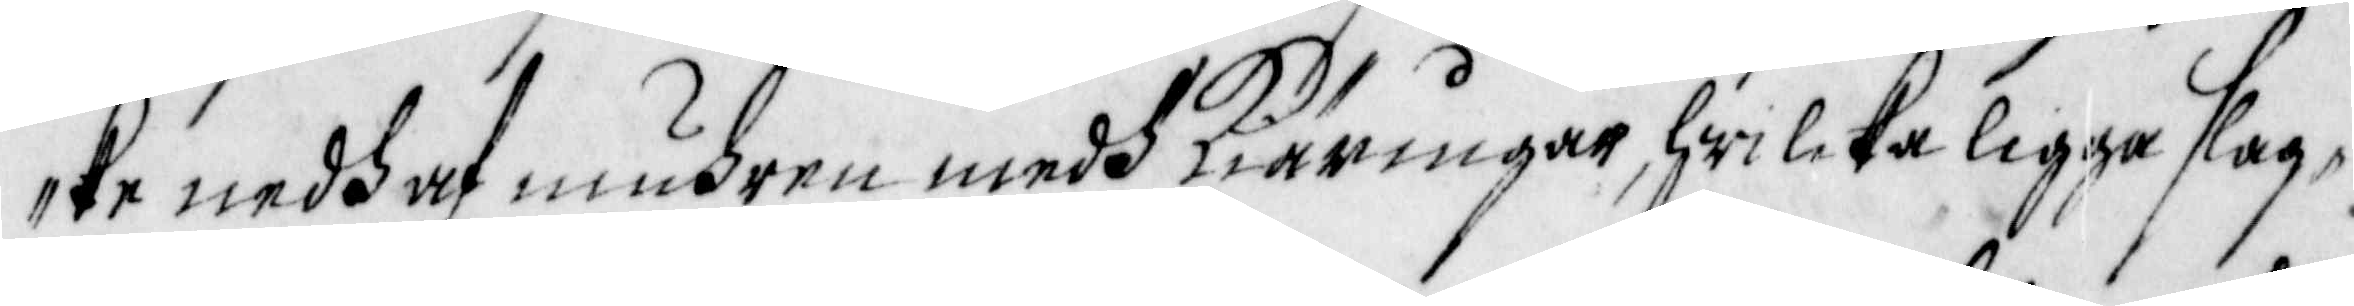ke nedh ot muhren medh kiärningar, hwilcka ligga slag¬
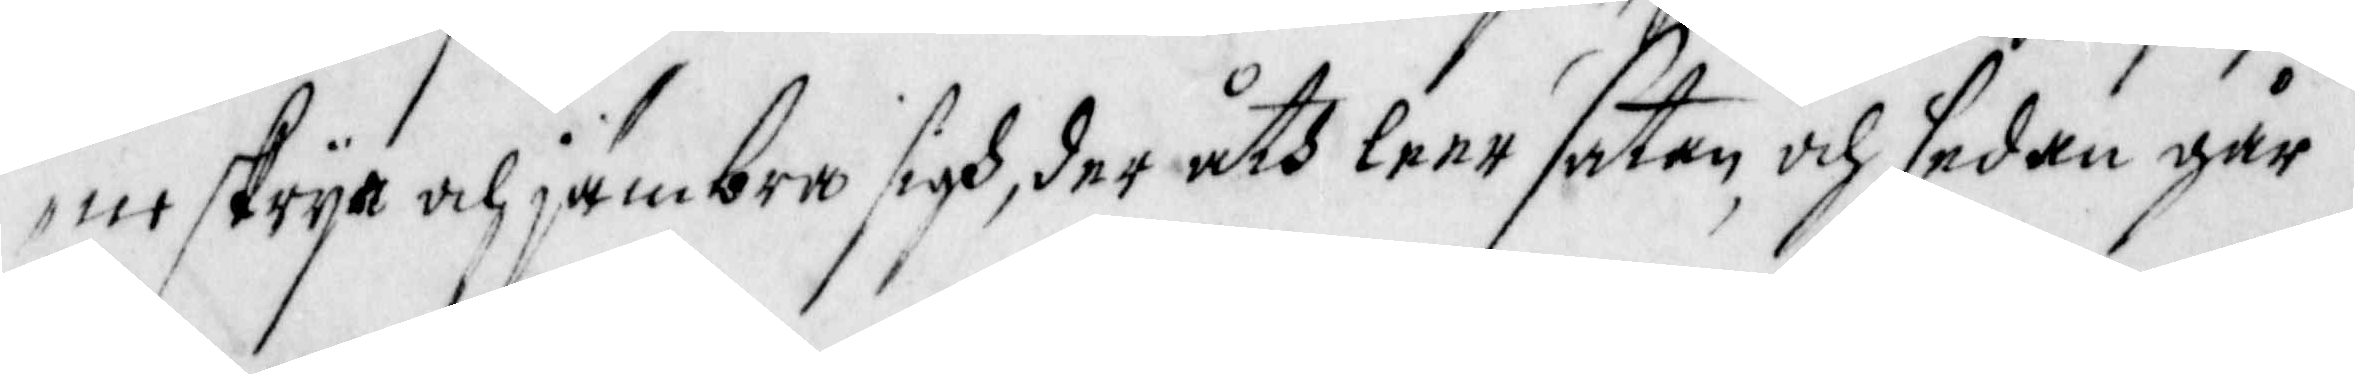ne skrya och jämbra sigh, der åth leer satan, och sedan går
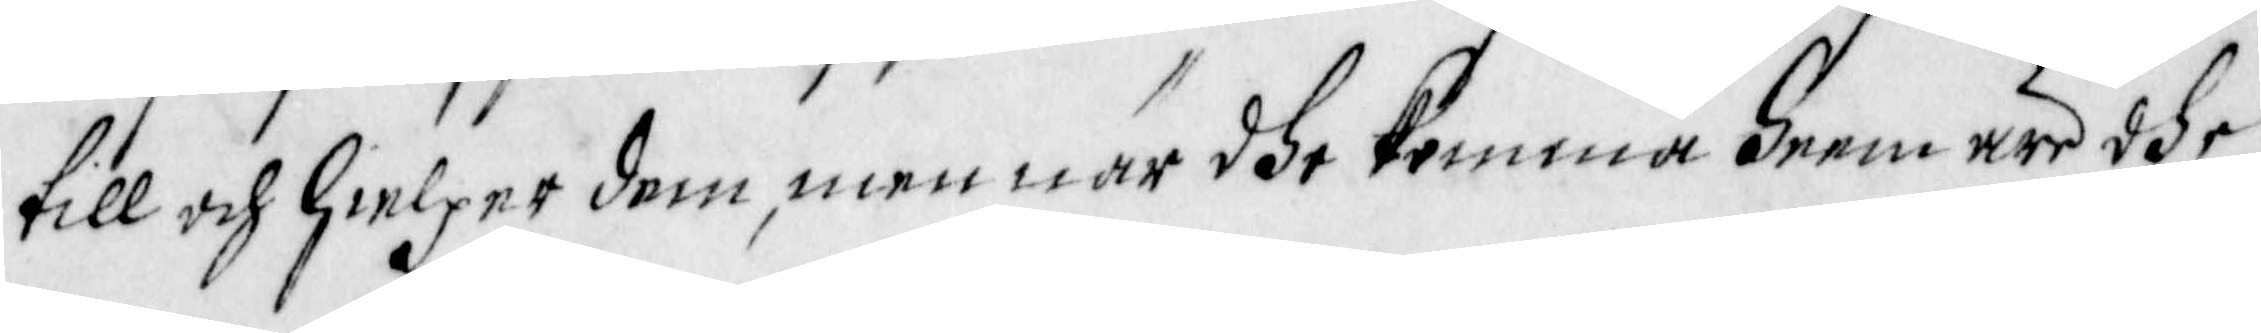till och hielper dem, men när dhe komma heem äre dhe
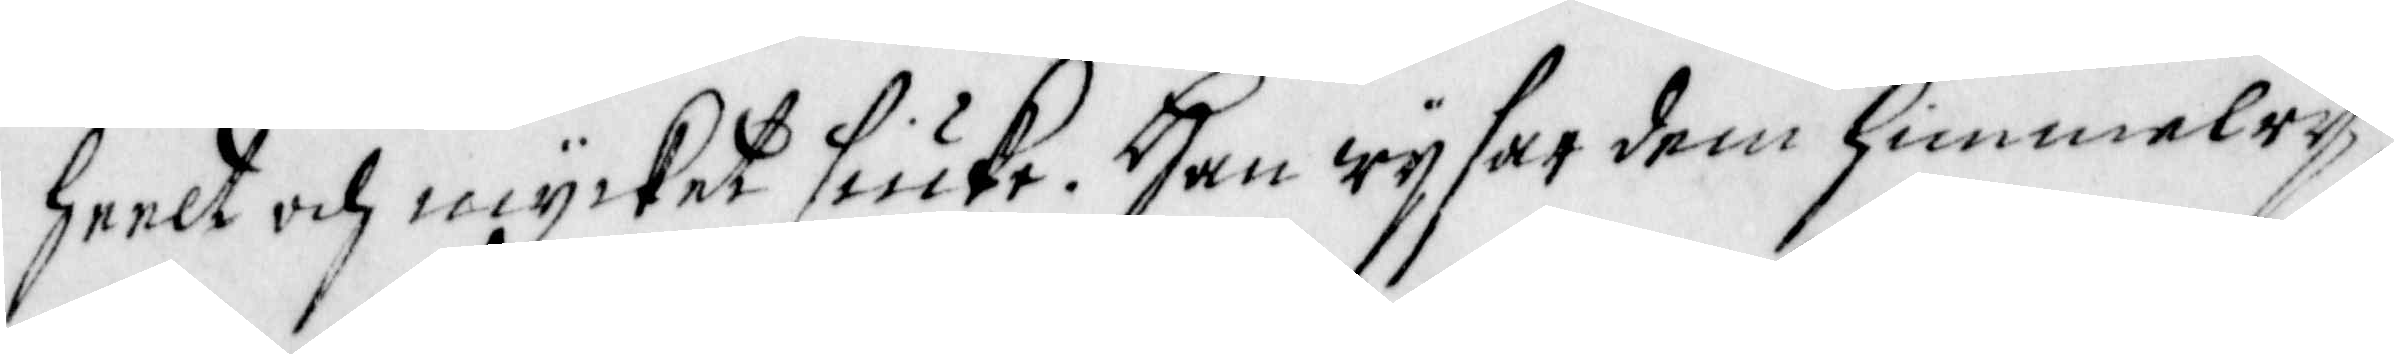heelt och mycket siuke. Han wysar dem himmelry¬
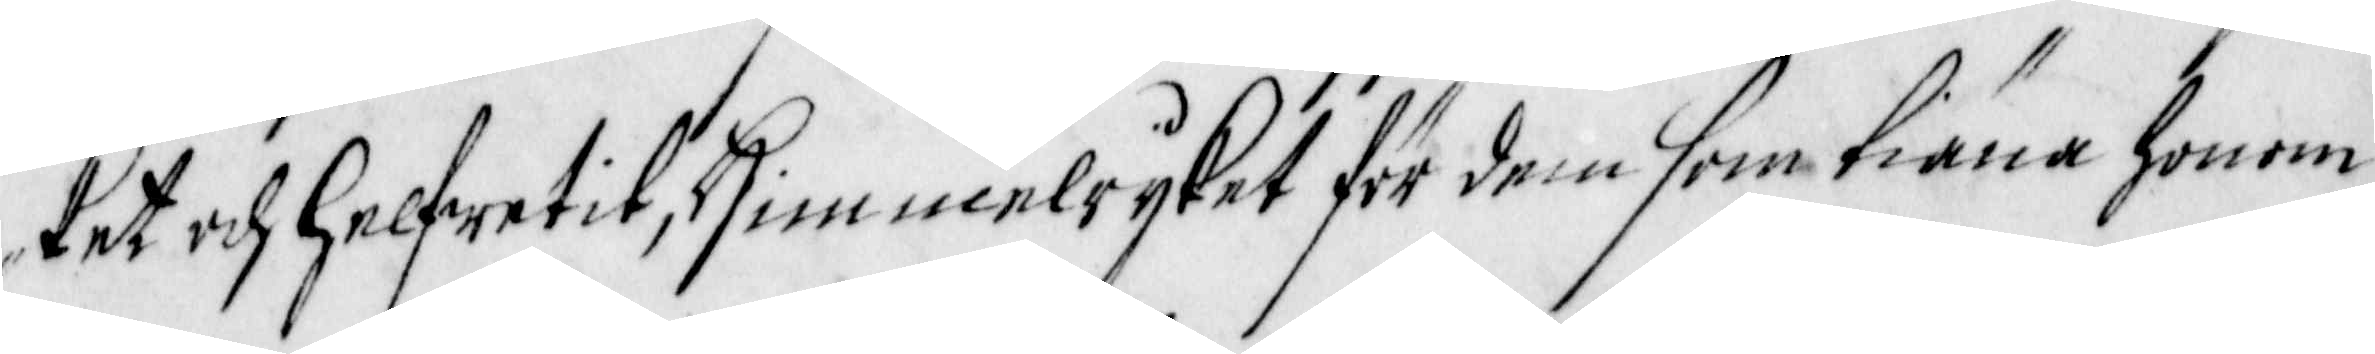ket och Helfwetit, Himmelryket för dem som tiena honom,
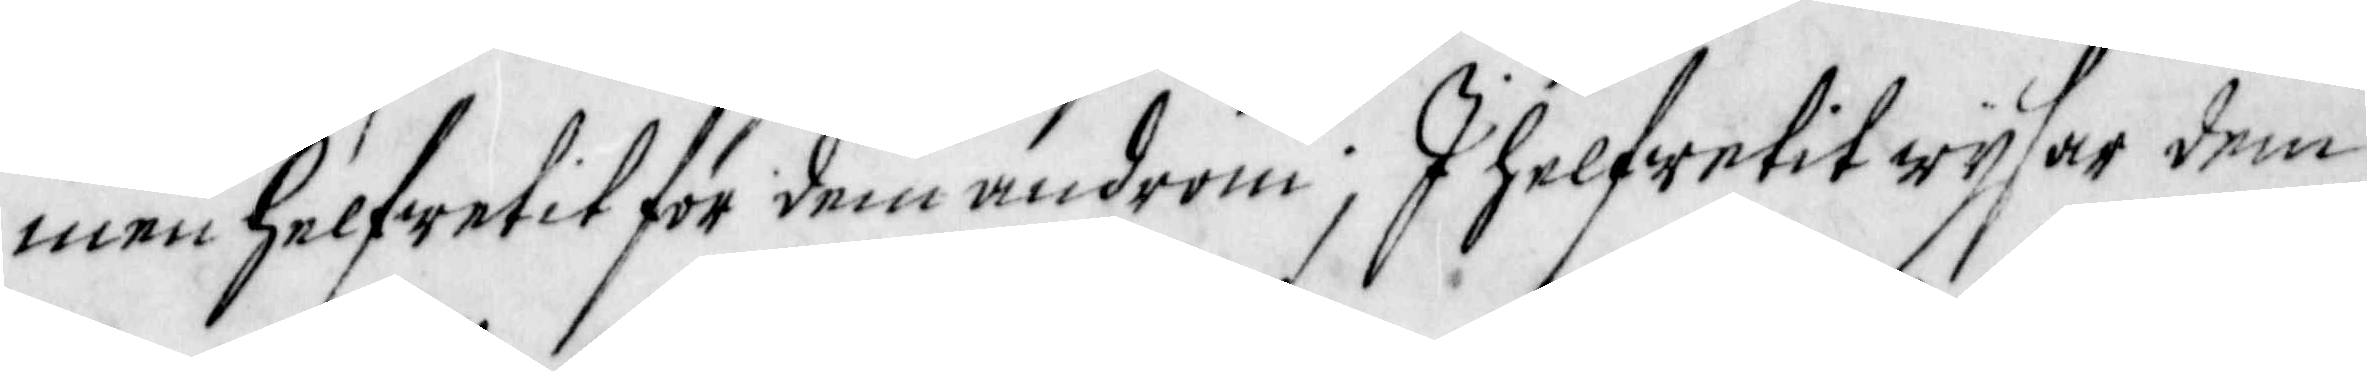men Helfwetit för dem androm; I helfwetit wysar dem
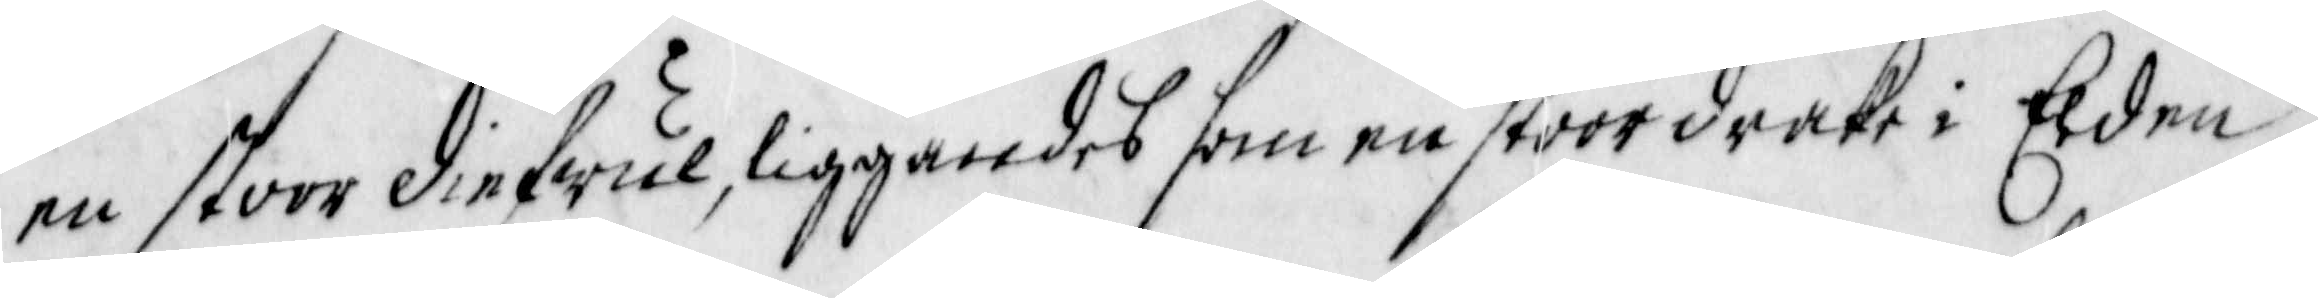en stoor diefwul, liggandes som en stoor drake i Elden,
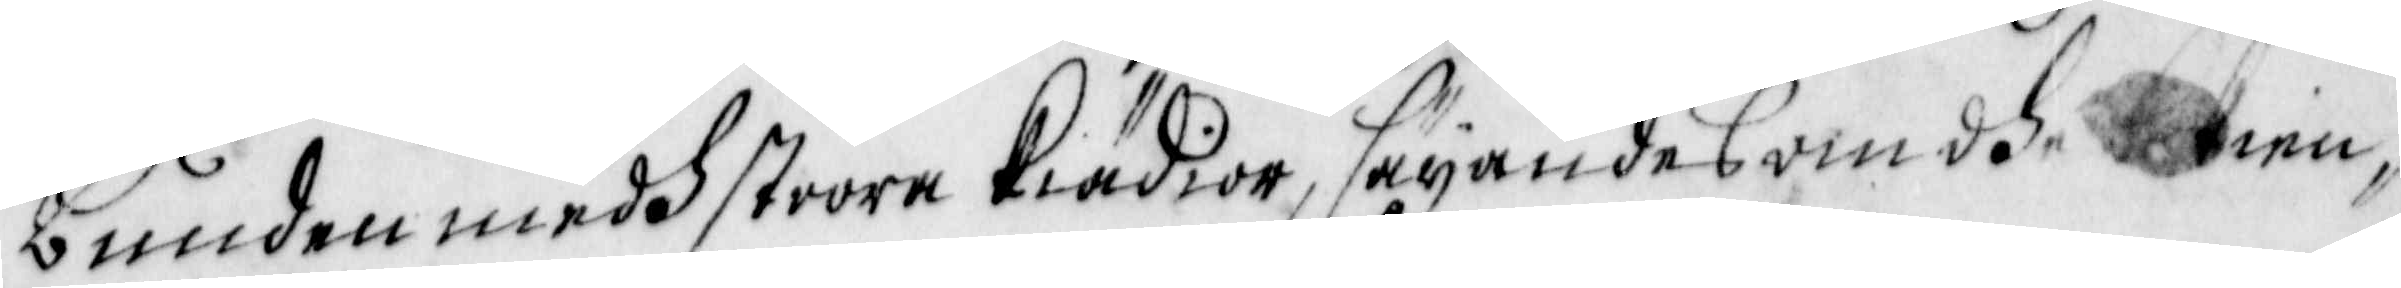bunden medh stoora kiädior, säyandes om dhe bekien¬
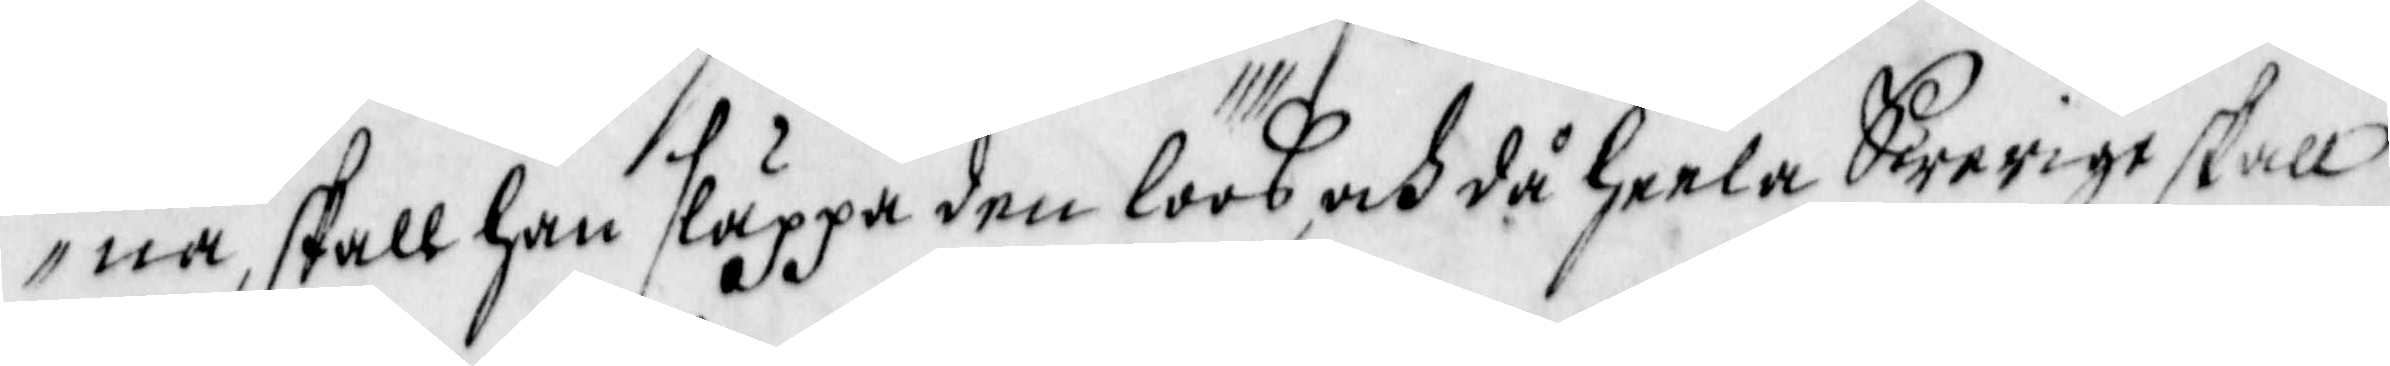na, skall han släppa den löös, och då heela Swerige skall
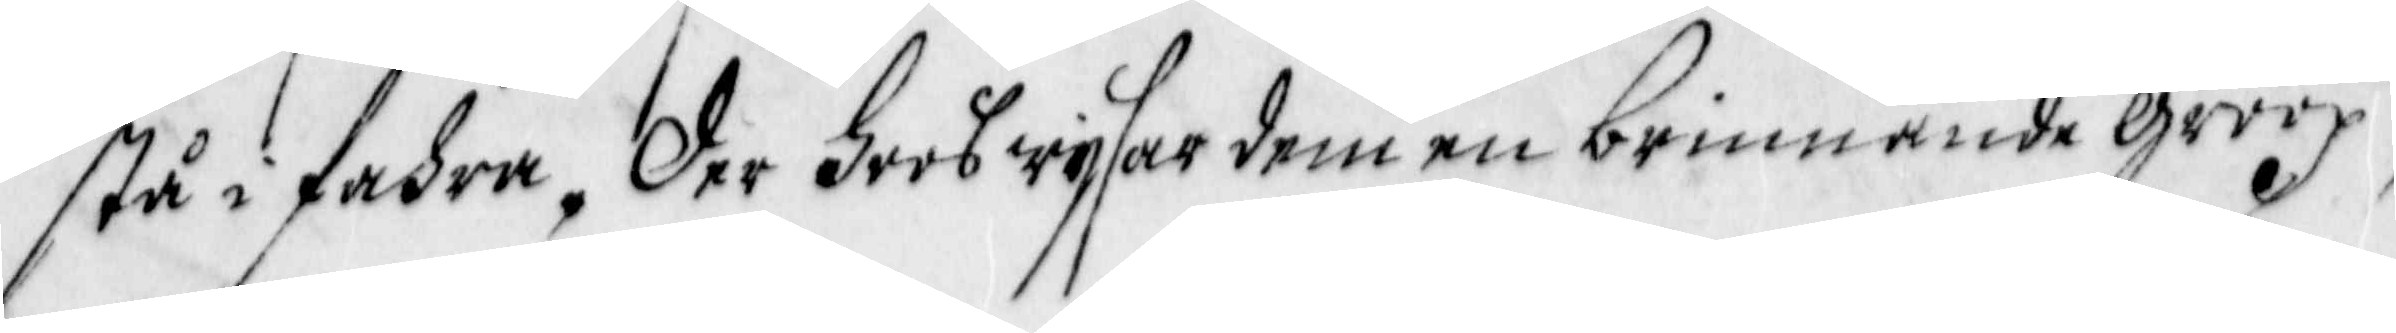stå i fahra, der hoos wysar dem en brinnande groop
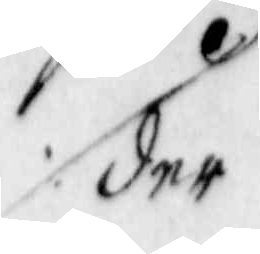der
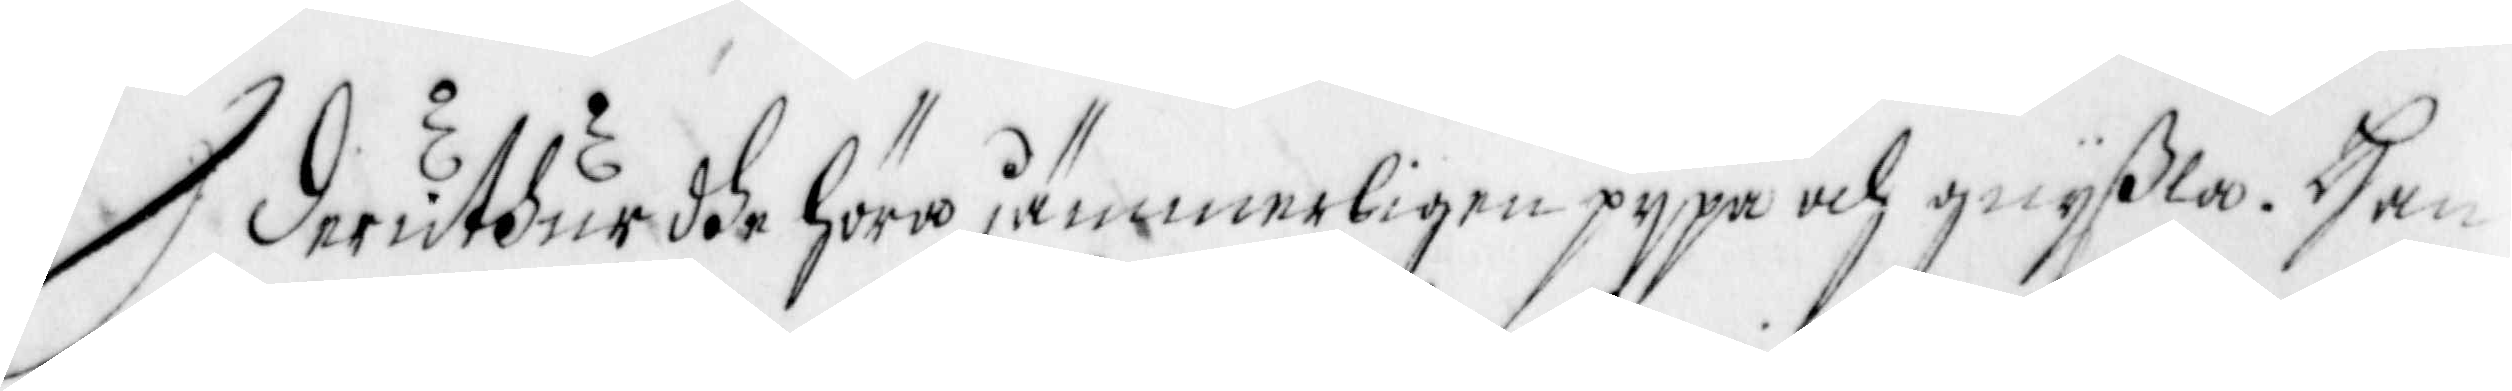deruthur dhe höra jämmerligen pypa och gnyßla. Han
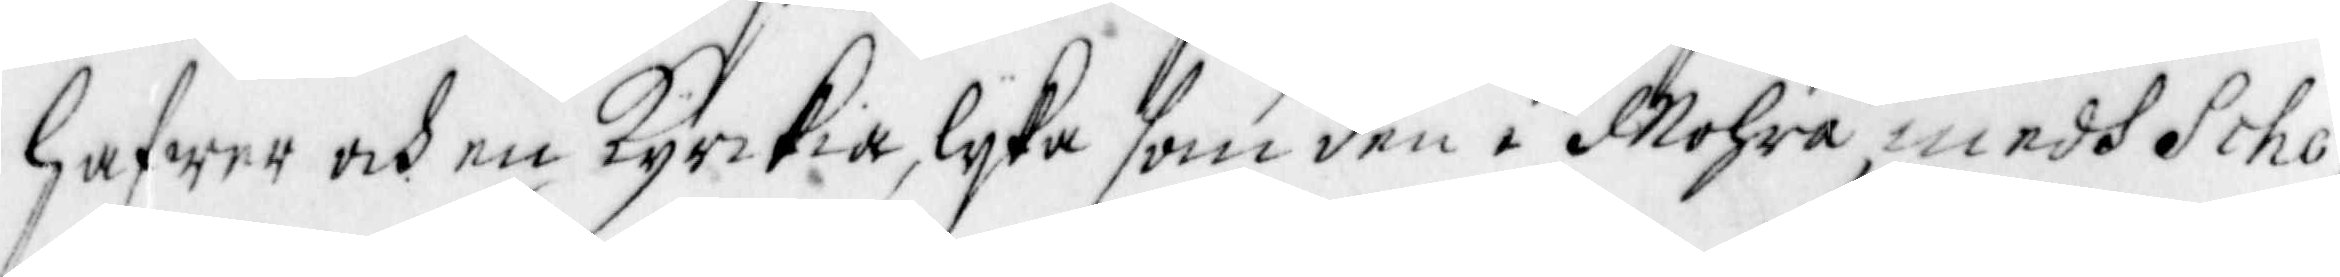hawer och en Kyrkia, lyka som den i Mohra, medh Scho¬
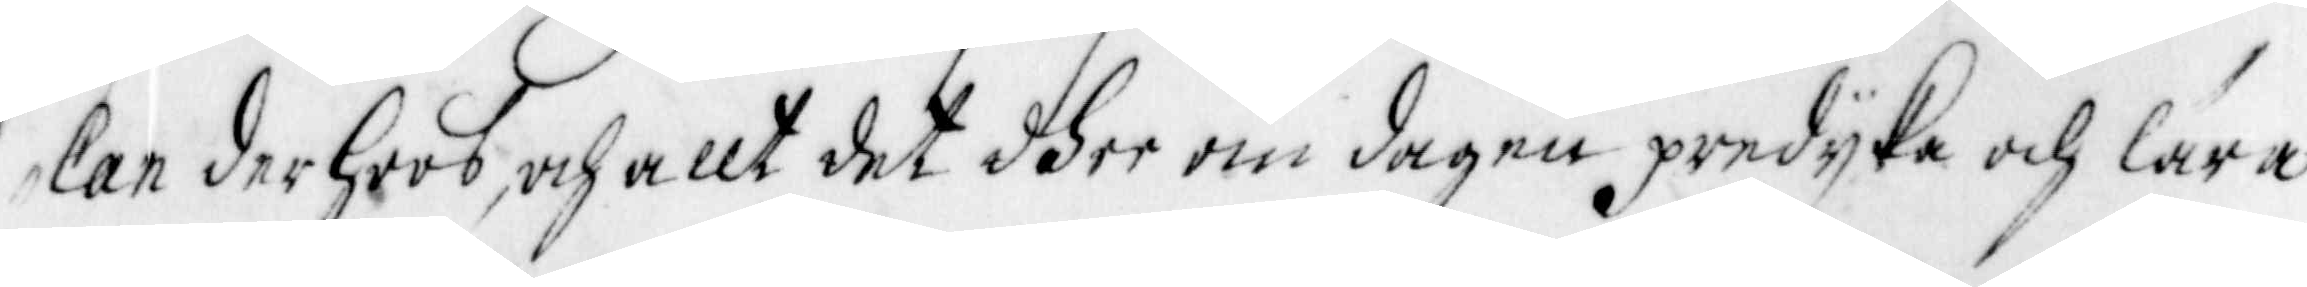lan der hoos, och allt det dhee om dagen predyka och lära
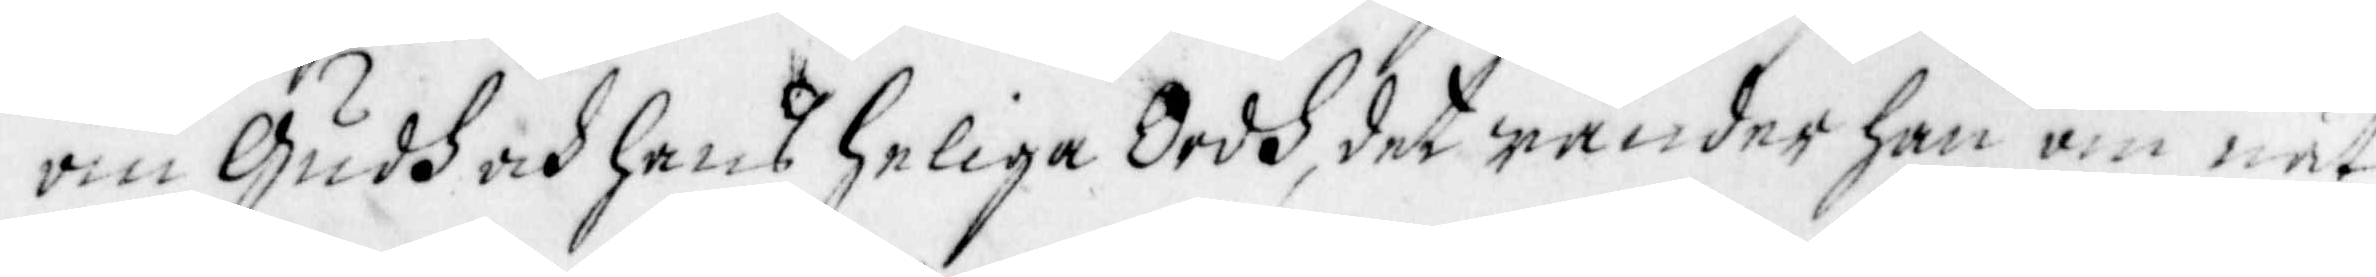om Gudh och hans heliga Ordh, det wänder han om nät¬
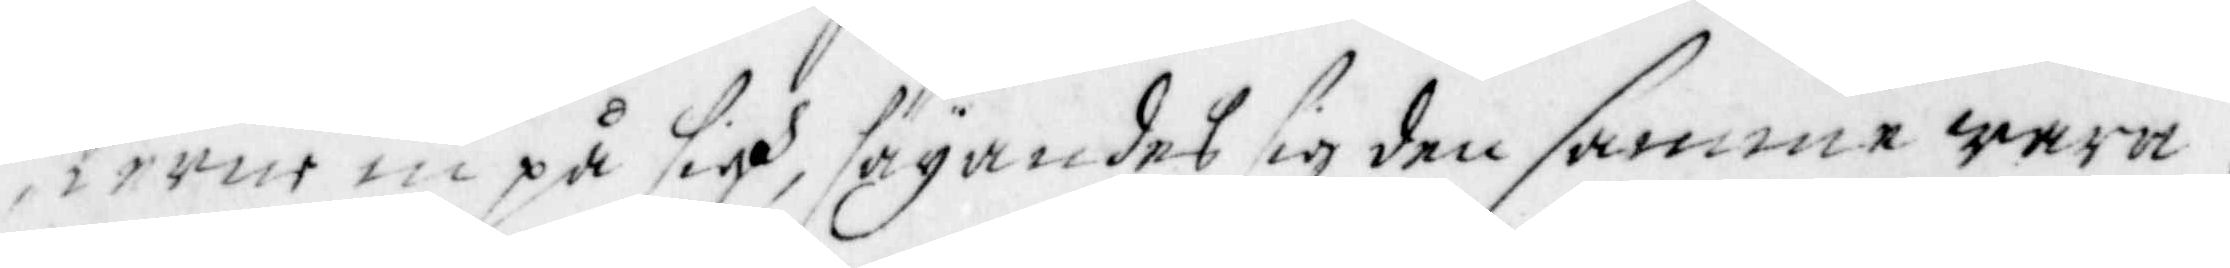terne in på sigh, sägandes sig den samme wara.
